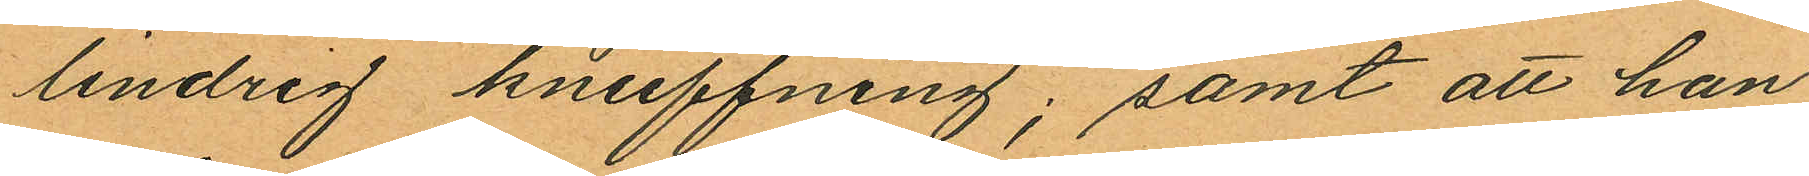lindrig knuffning; samt att han
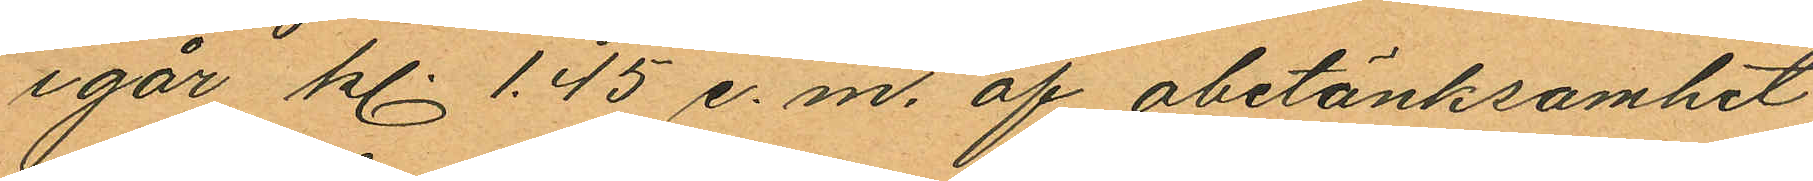igår kl 1.45 e.m. af obetänksamhet
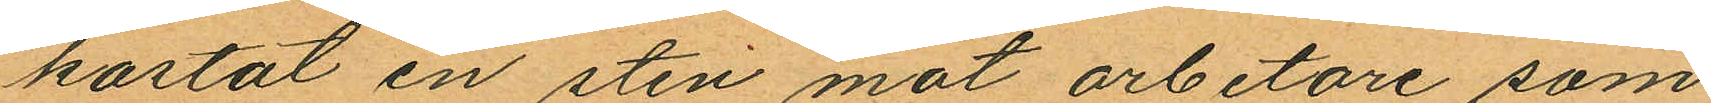kastat en sten mot arbetare som
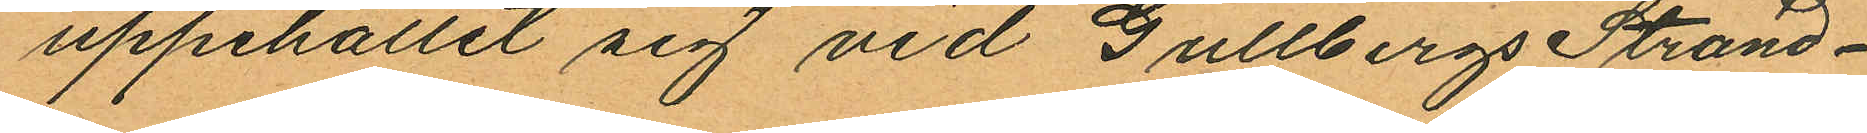uppehållit sig vid Gullbergs Strand¬
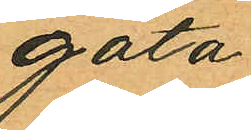gata.
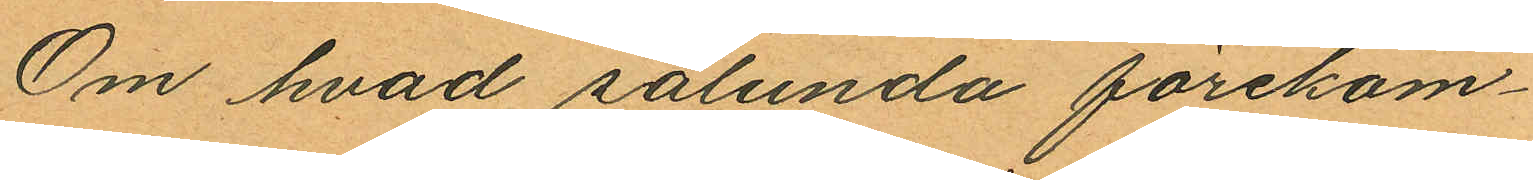Om hvad sålunda förekom¬
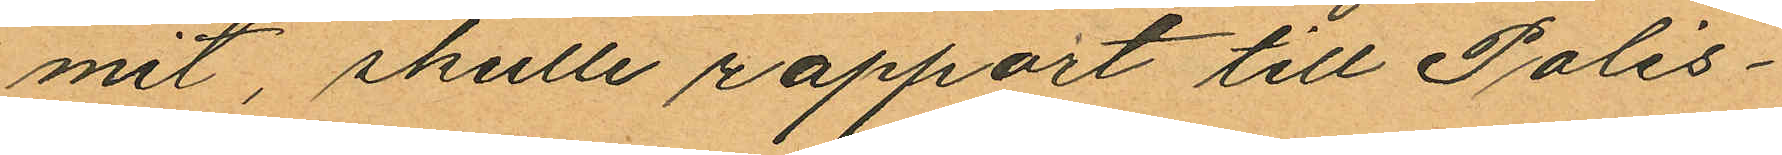mit skulle rapport till Polis¬
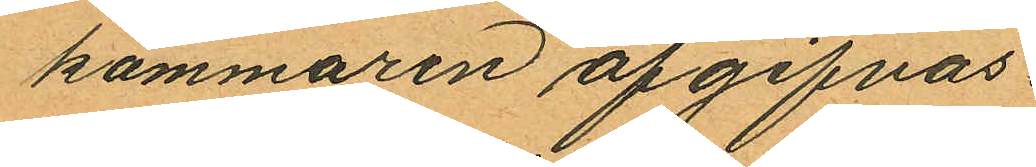kammaren afgifvas.
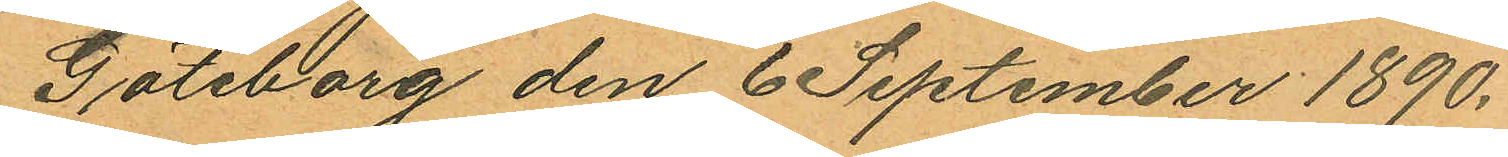Göteborg den 6 September 1890.
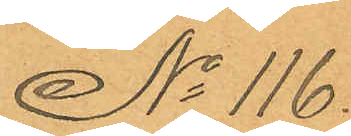No 116.
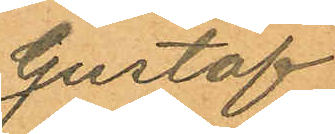Gustaf
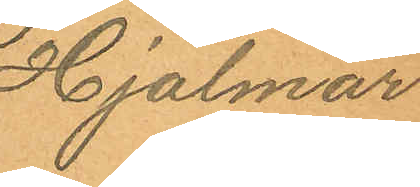Hjalmar
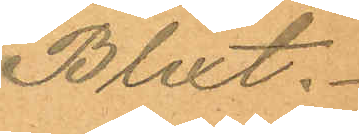Blixt.
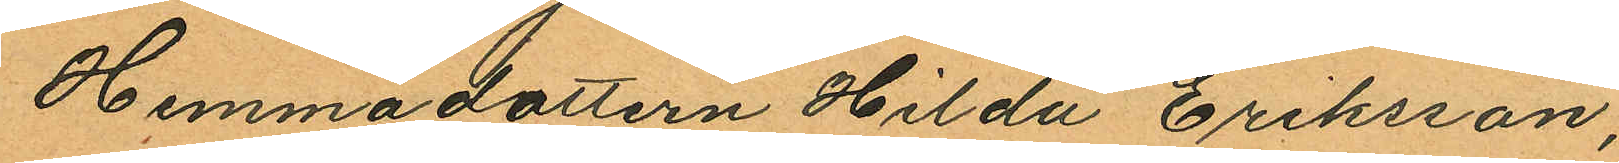Hemmadottern Hilda Eriksson,
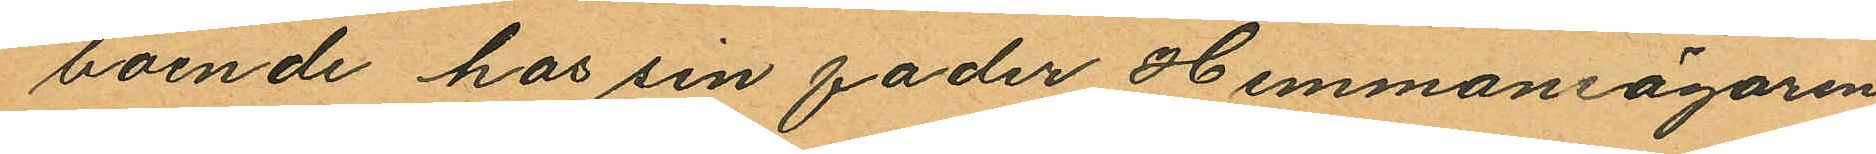boende hos sin fader Hemmansägaren
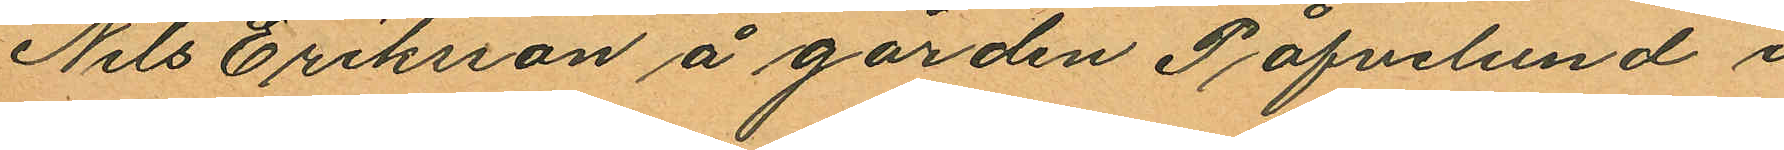Nils Eriksson å gården Påfvelund i
